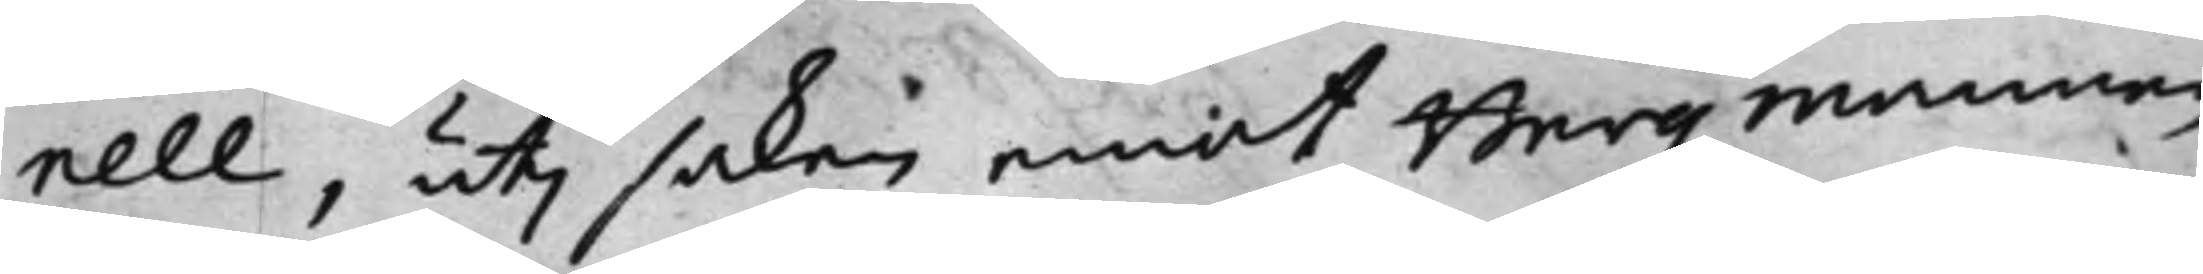nell, uti saken emot Bergzmannen
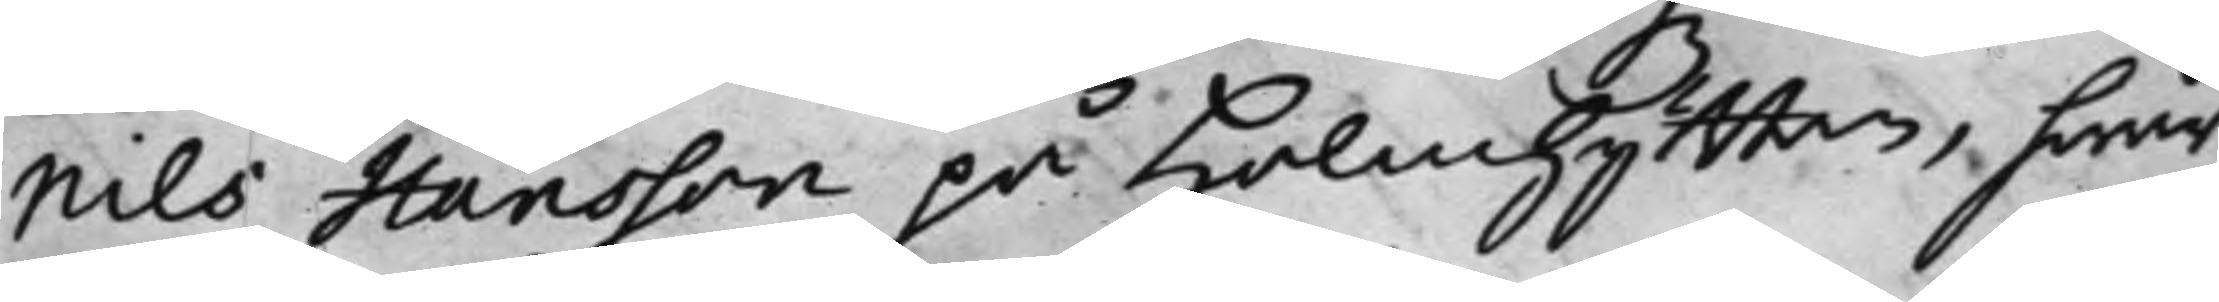Nils Hansson på Holmhyttan, hwar¬
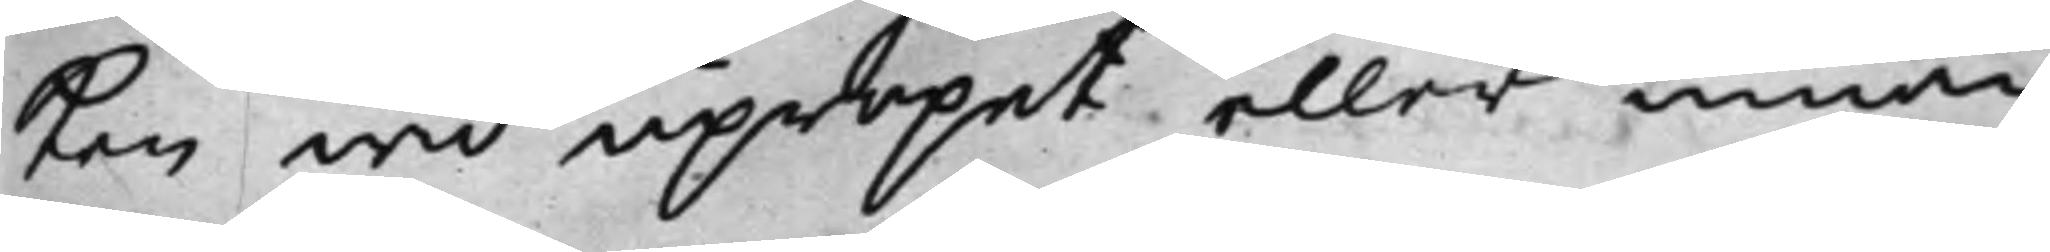ken wid upropet eller innan
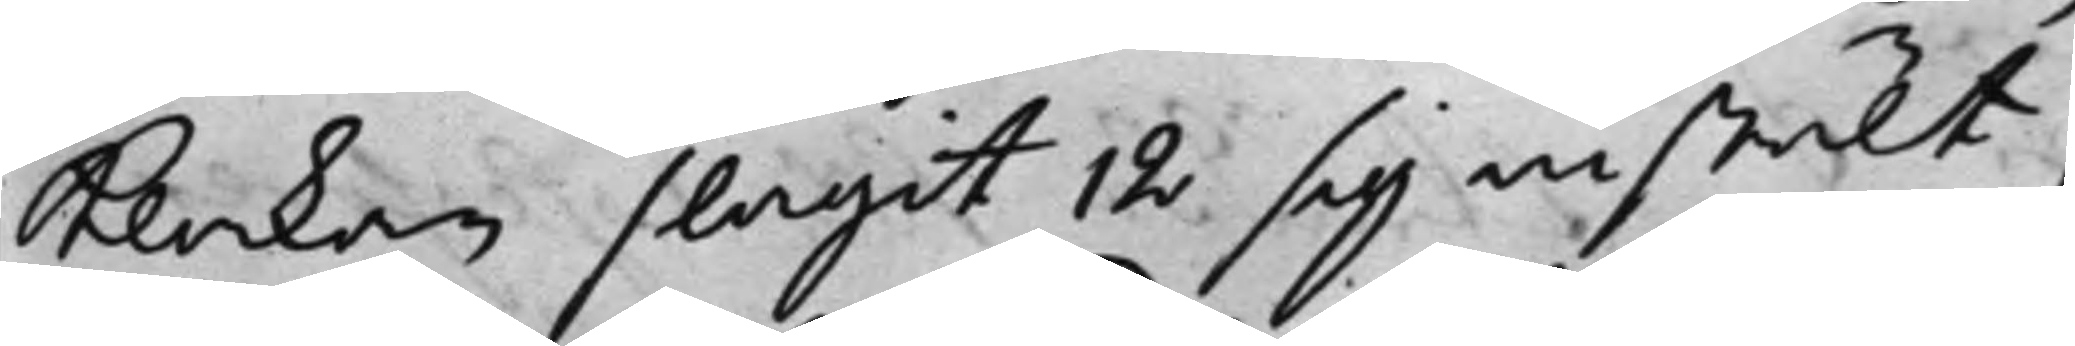Klockan slagit 12 sig instält;
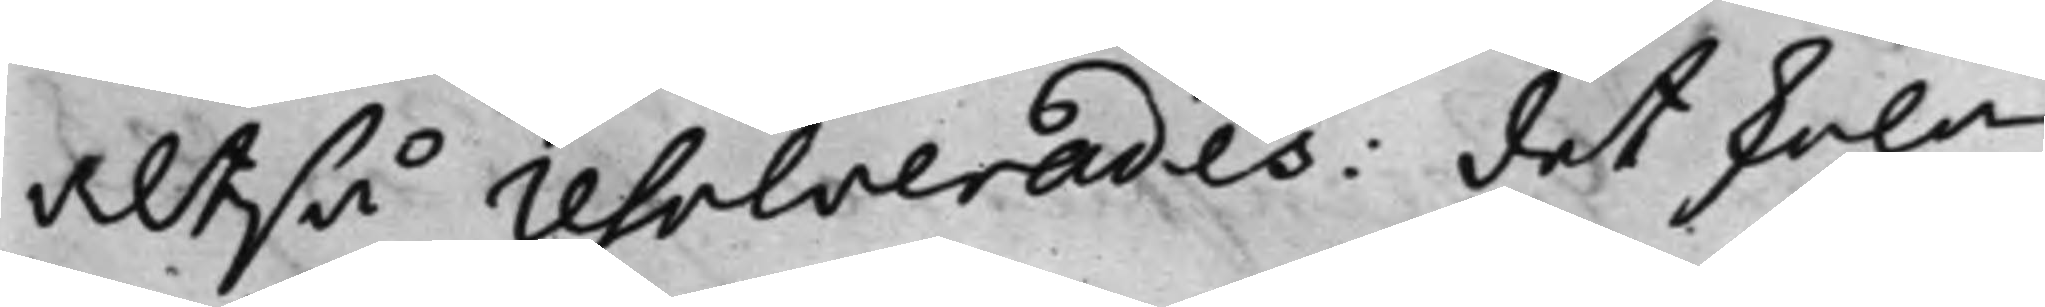altså resolverades: det skola
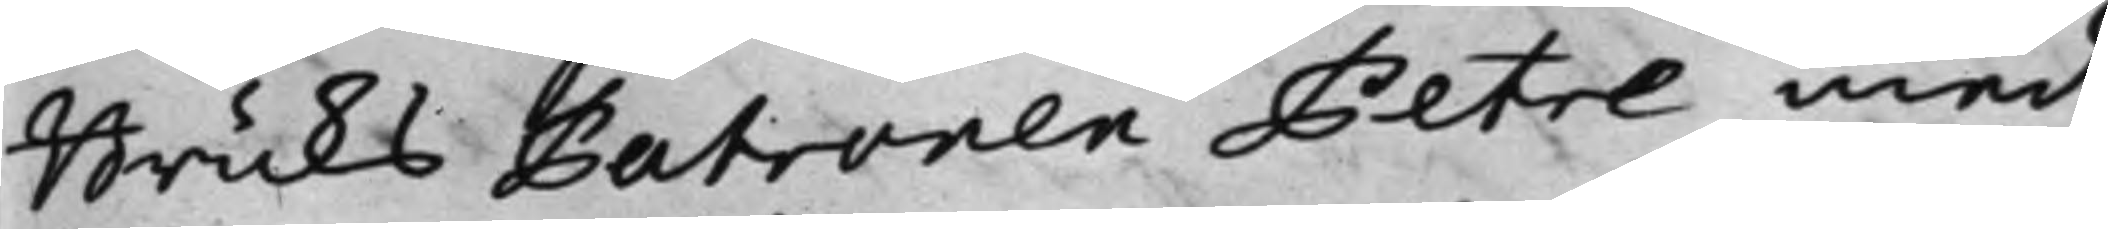Bruks Patronen Petre med
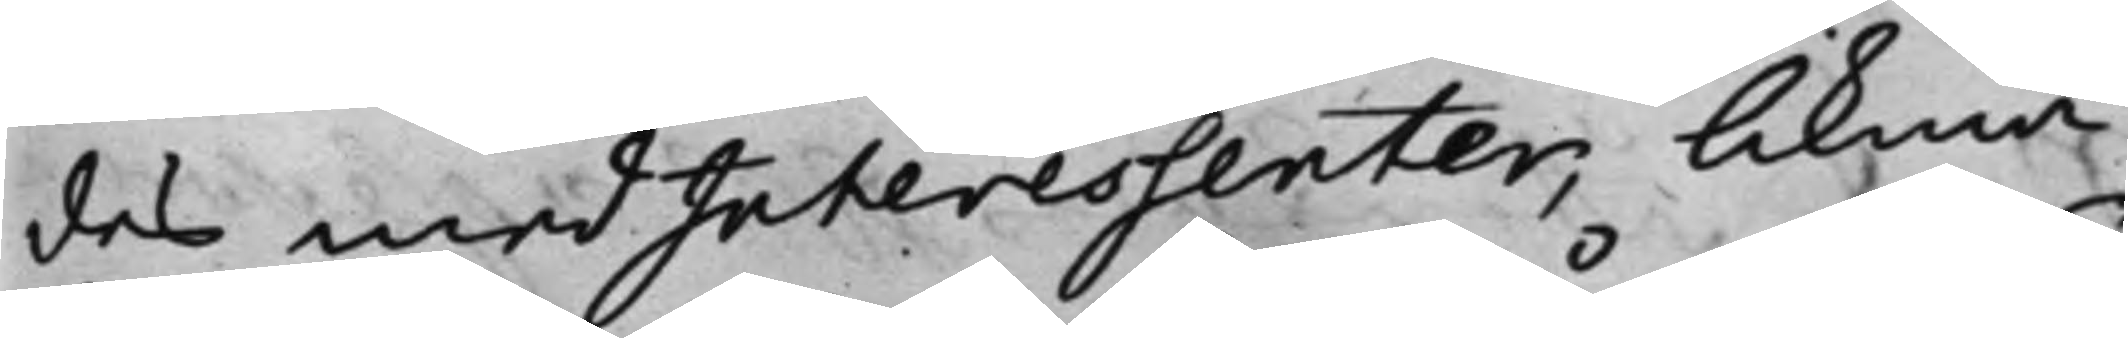des medInteressenter; likmä¬
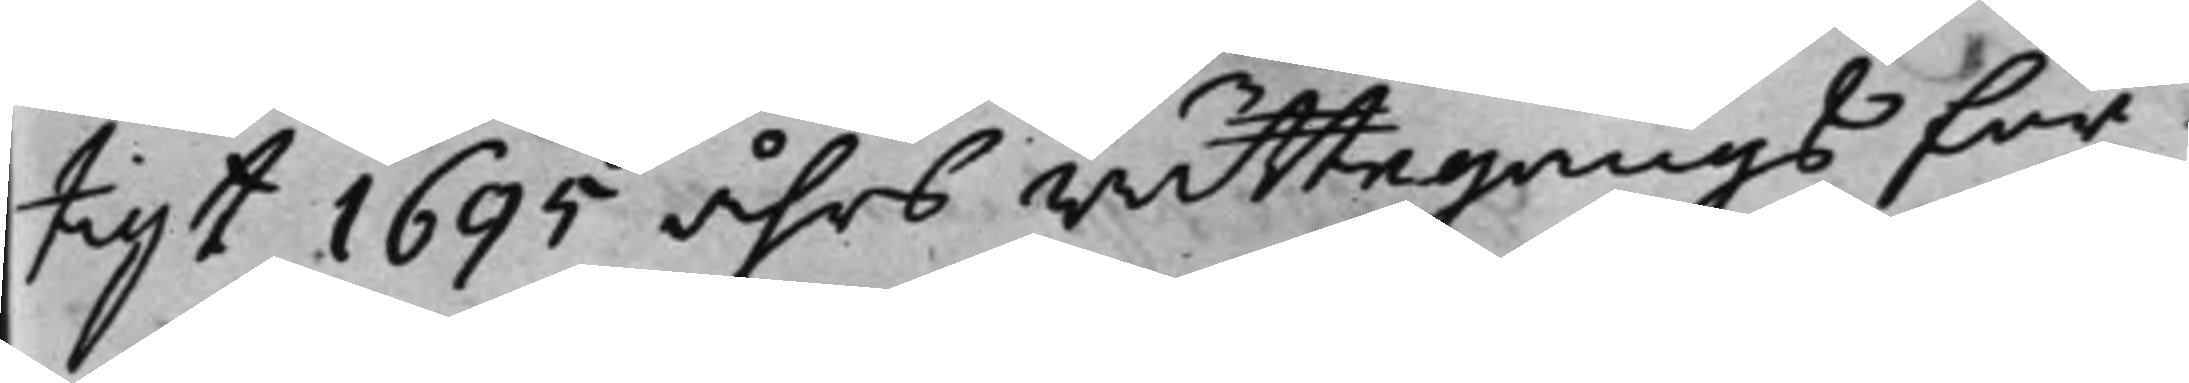tigt 1695 åhrs rättegångs för¬
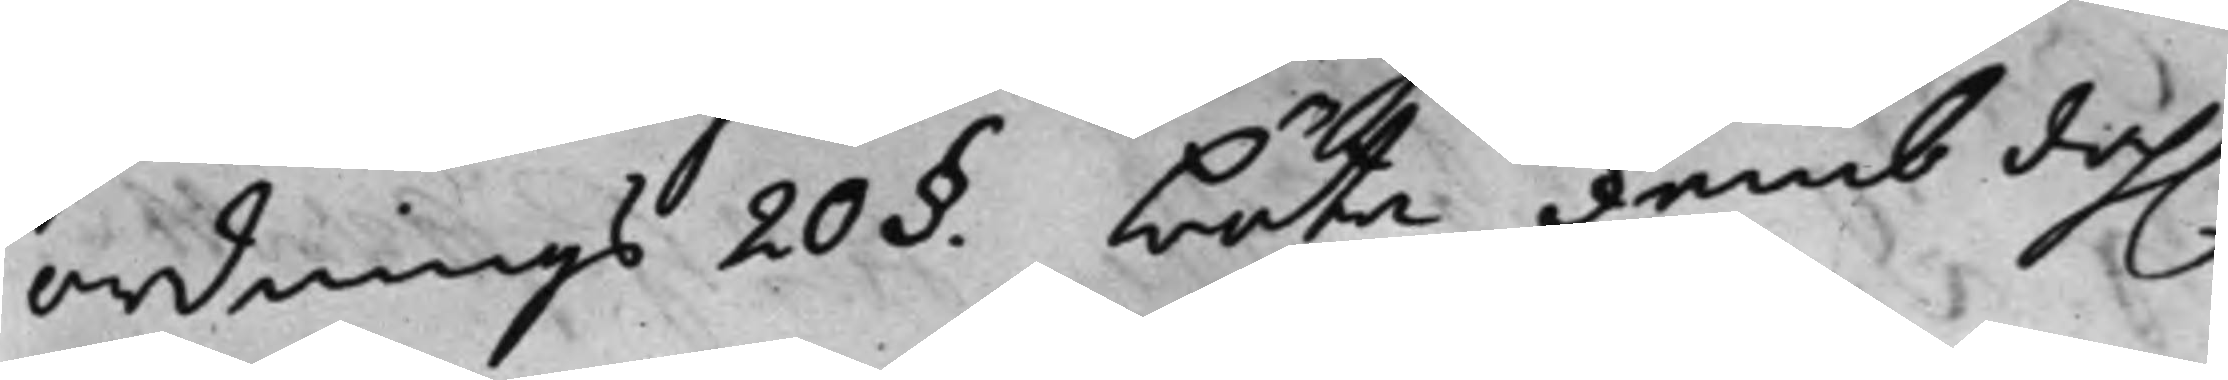ordnings 20 §. böta femb dah. 
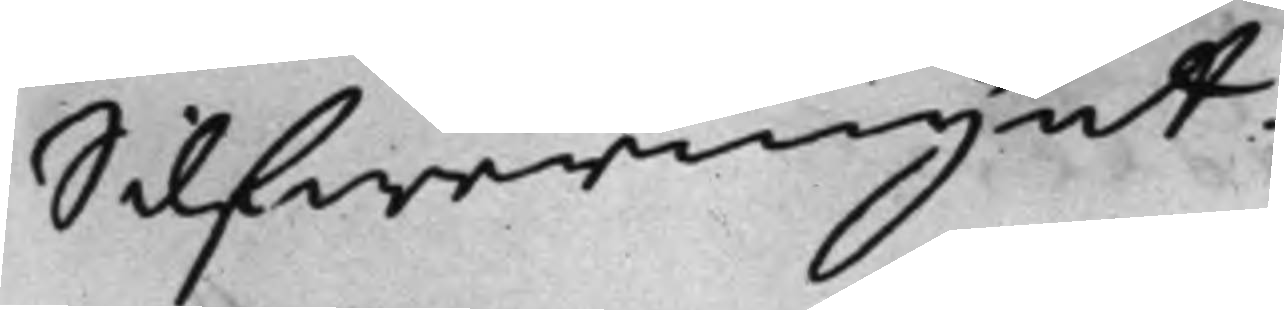Silfwermynt.
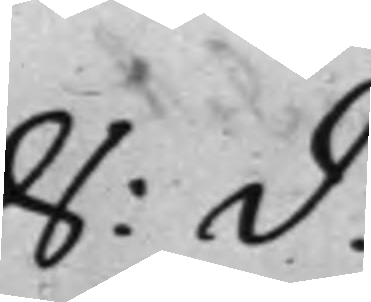S: D:
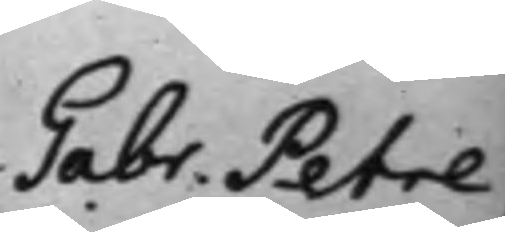Gabr. Petre,
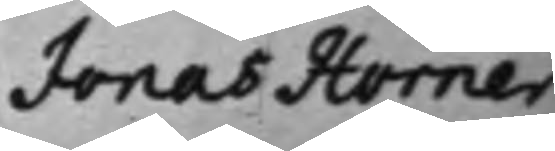Jonas Horner,
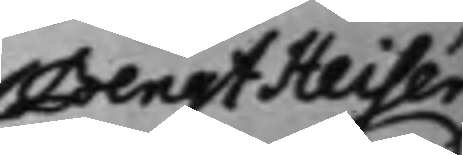Bengt Helser,
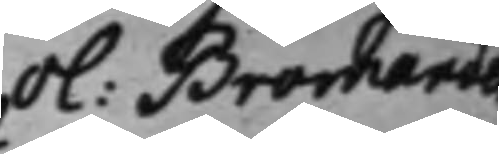Ol: Bromander
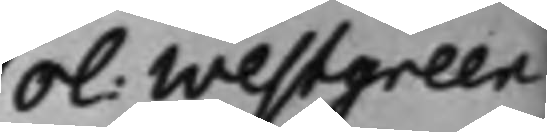Ol: Westgreen
